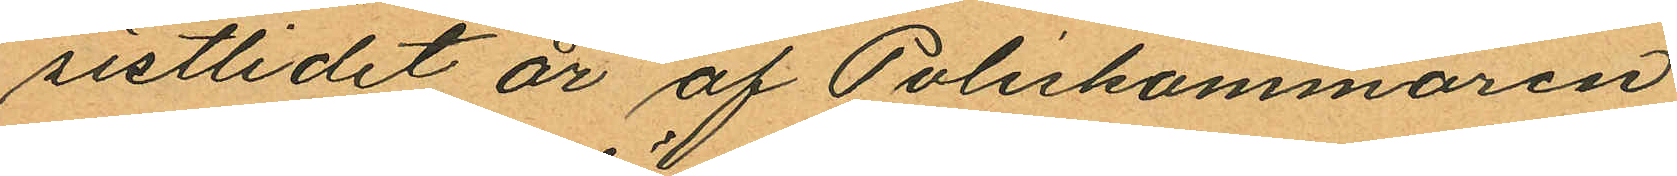sistlidet år af Poliskammaren
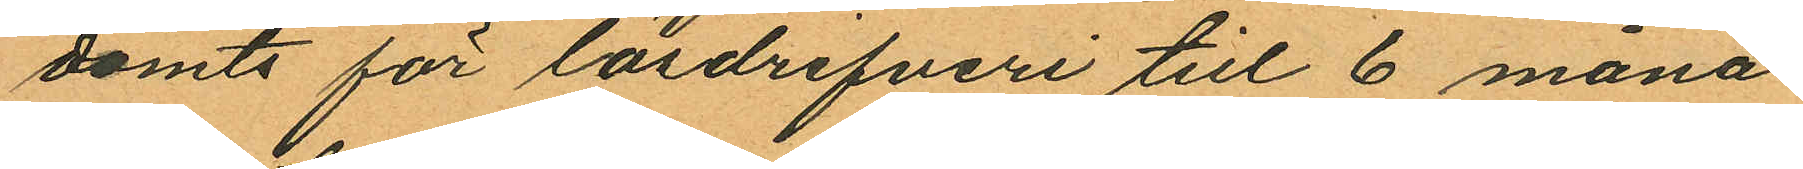dömts för lösdrifveri till 6 måna¬
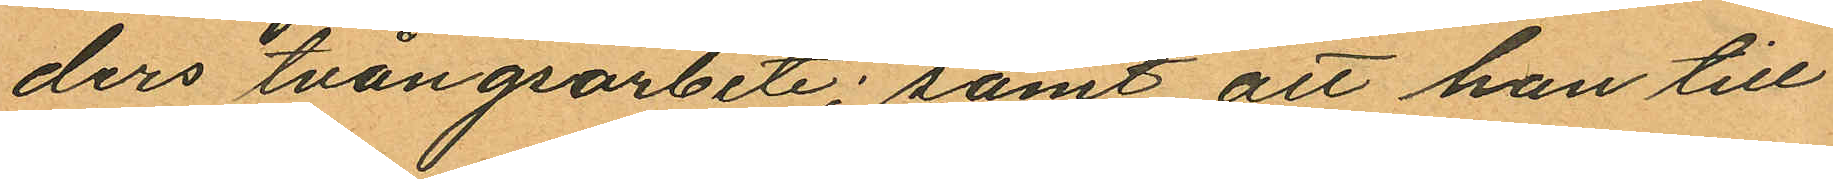ders tvångsarbete; samt att han till
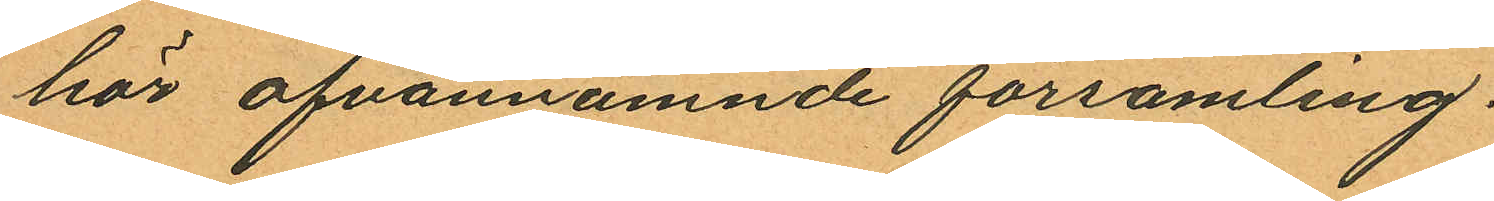hör ofvannämnde församling.
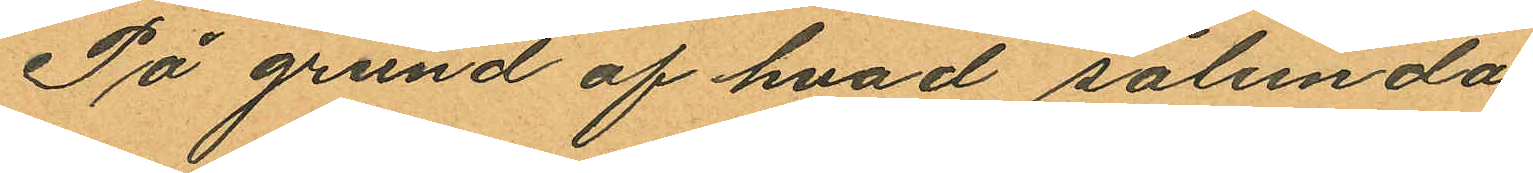På grund af hvad sålunda
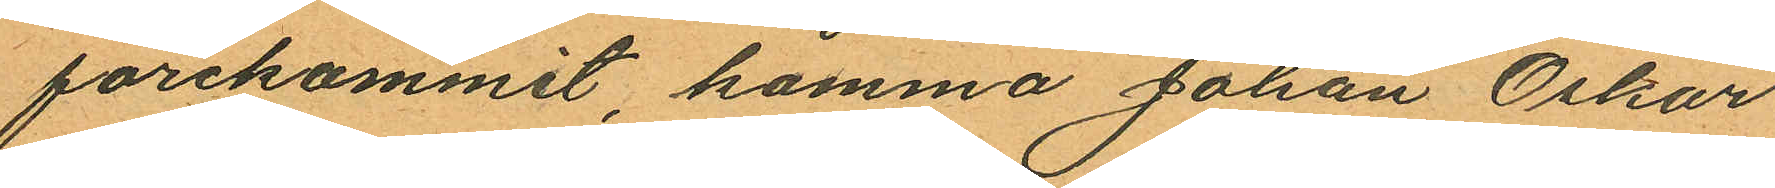forekommit, komma Johan Oskar
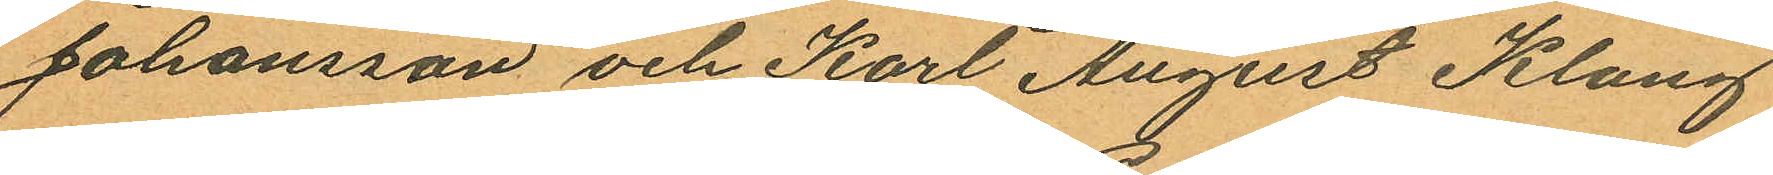Johansson och Karl August Klang
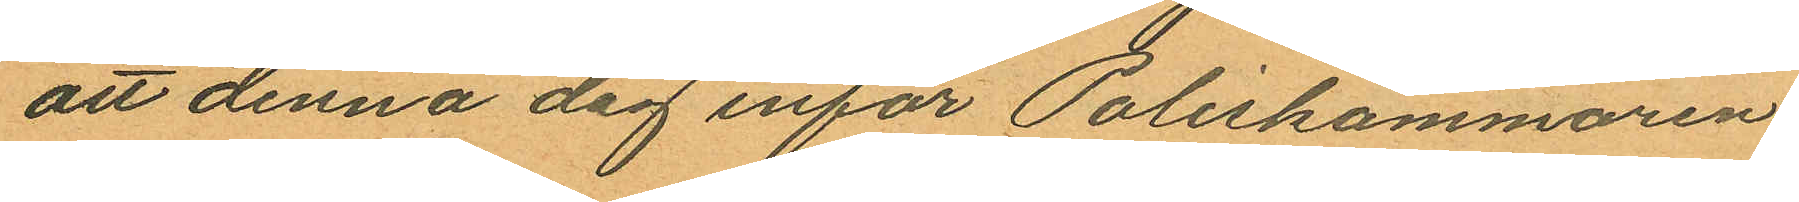att denna dag inför Poliskammaren
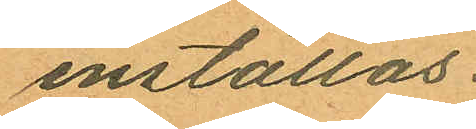inställas.
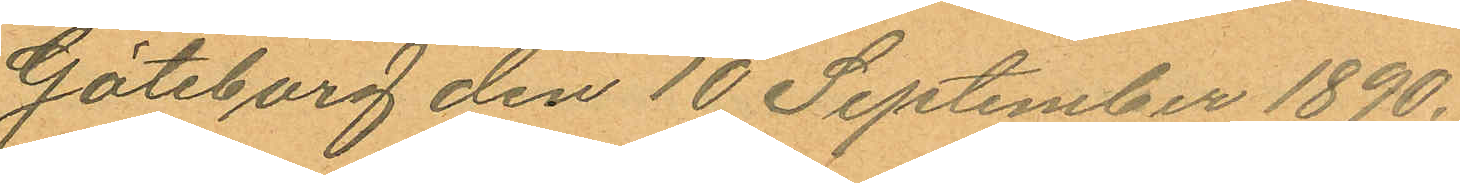Göteborg den 10 September 1890.
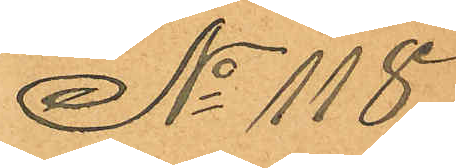No 118.
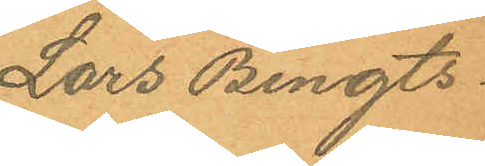Lars Bengts¬
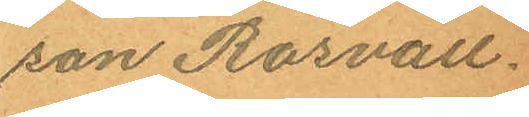son Rosvall.
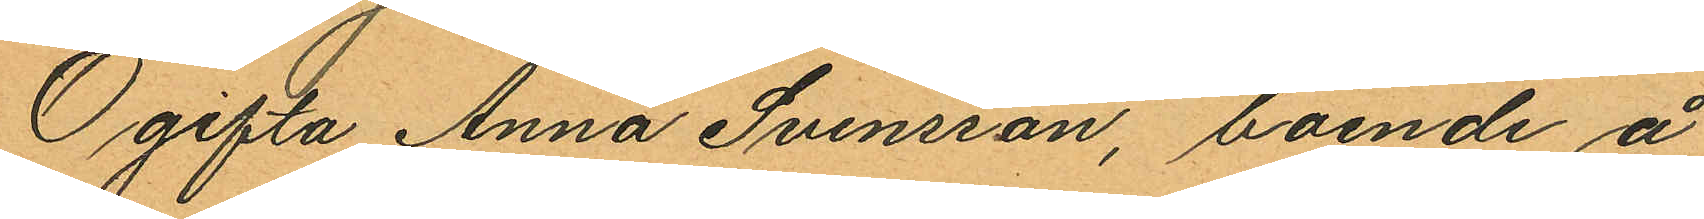Ogifta Anna Svensson, boende å
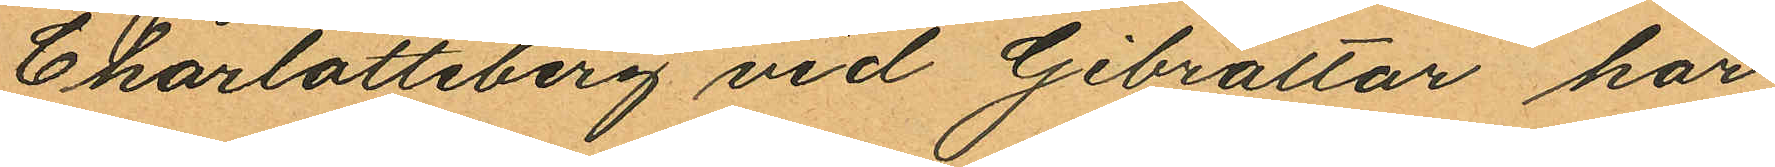Charlotteberg vid Gibraltar har
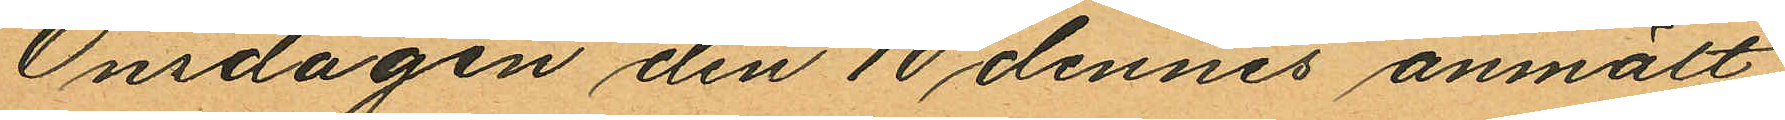Onsdagen den 10 dennes anmält
